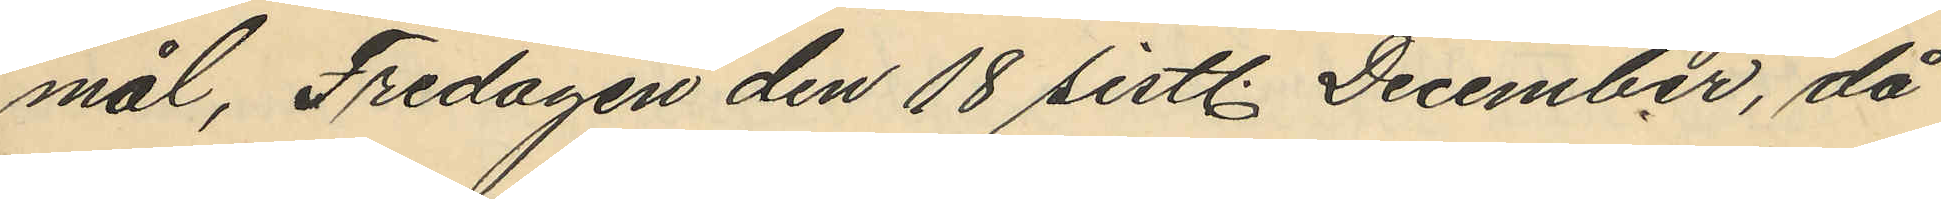mål, Fredagen den 18 sistl. December, då
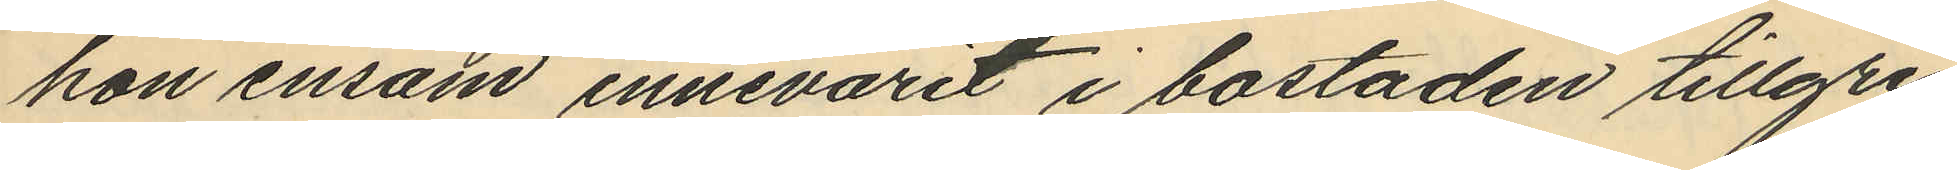hon ensam innevarit i bostaden tillgri¬
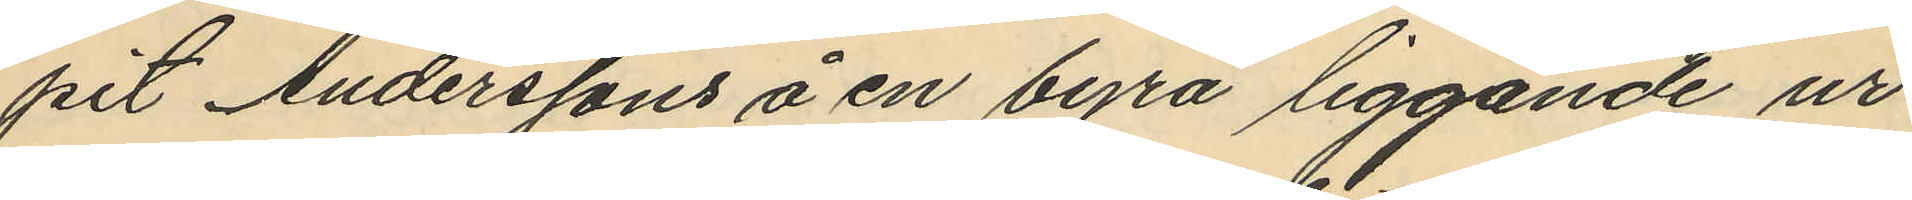pit Anderssons å en byrå liggande ur
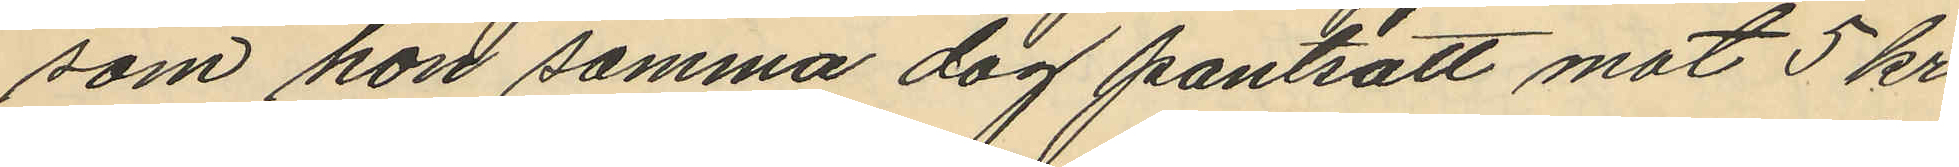som hon samma dag pantsatt mot 5 kr.
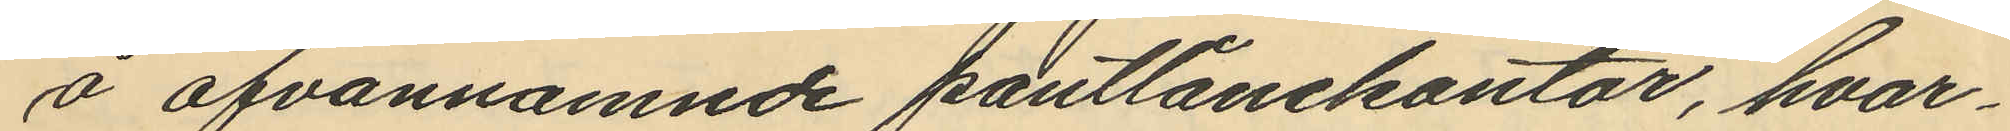å ofvannamnde pantlånekontor, hvar¬
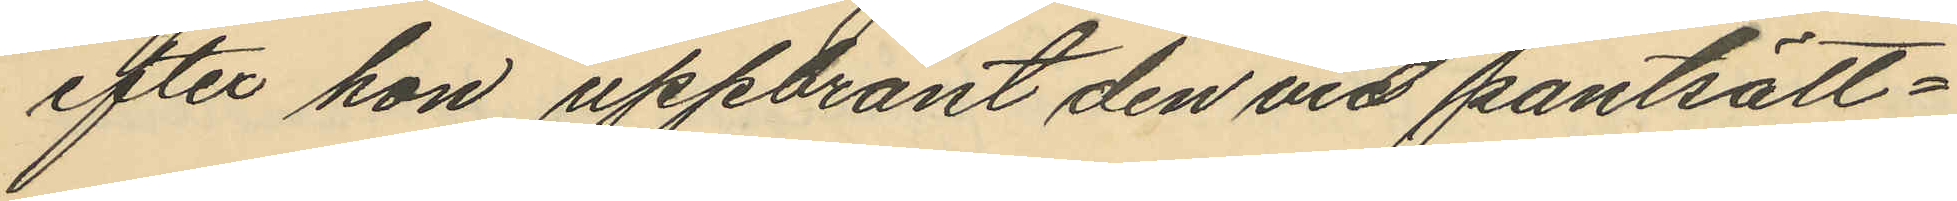efter hon uppbränt den vid pantsätt¬
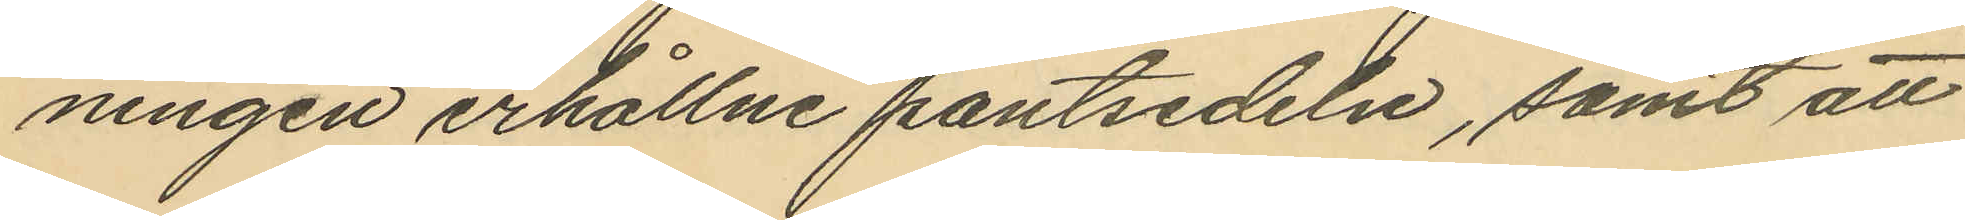ningen erhållne pantsedeln, samt att
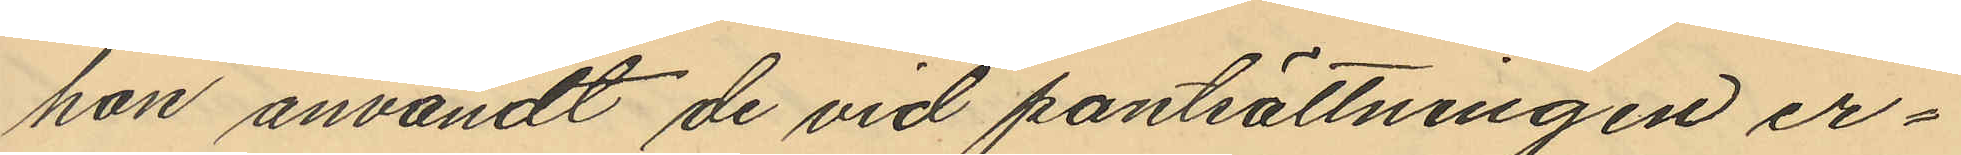hon användt de vid pantsättningen er¬
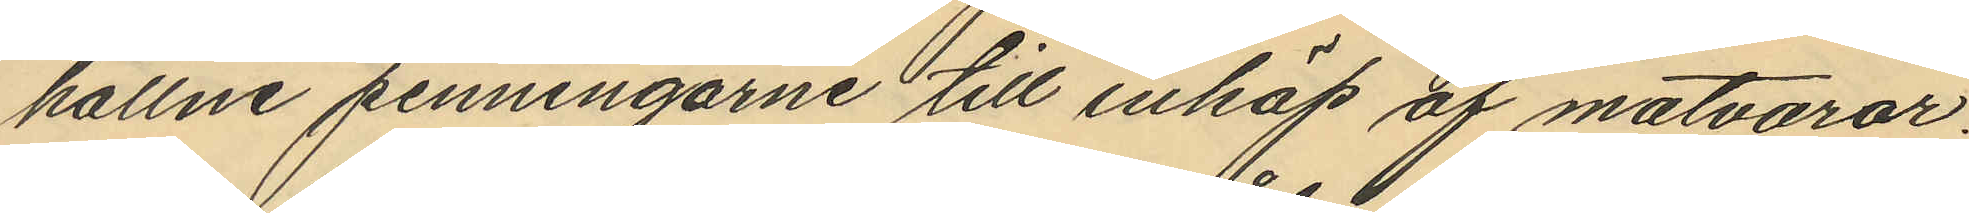hållne penningarne till inköp af matvaror.
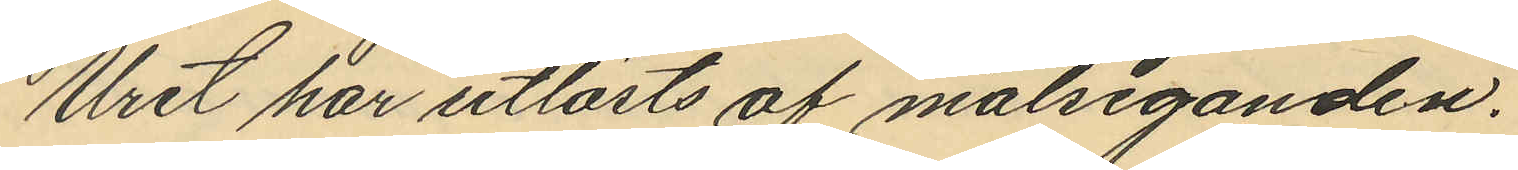Uret har utlösts af målseganden.
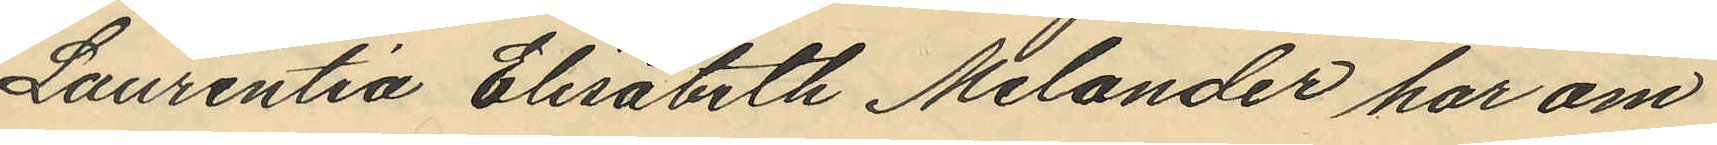Laurentia Elisabeth Melander har om
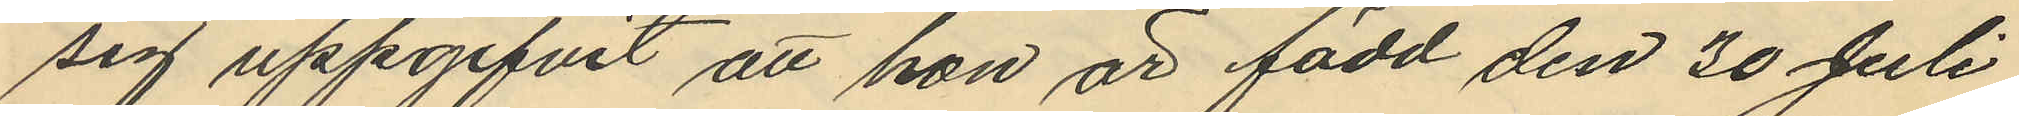sig uppgifvit att hon är född den 30 Juli
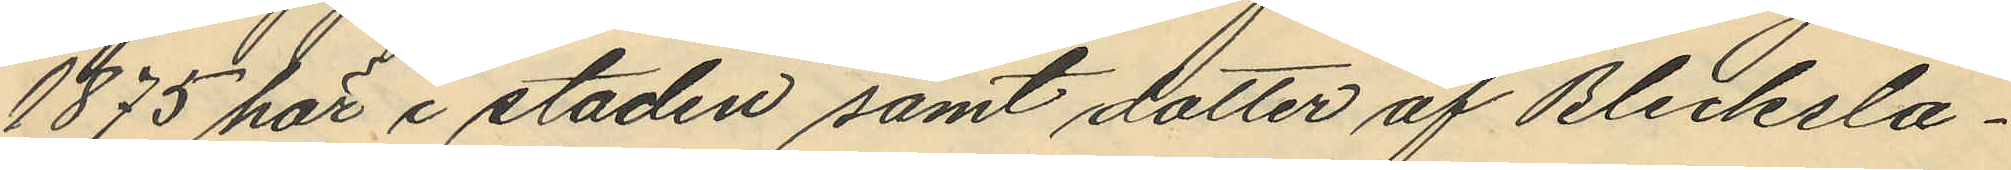1875 här i staden samt dotter af Blecksla¬
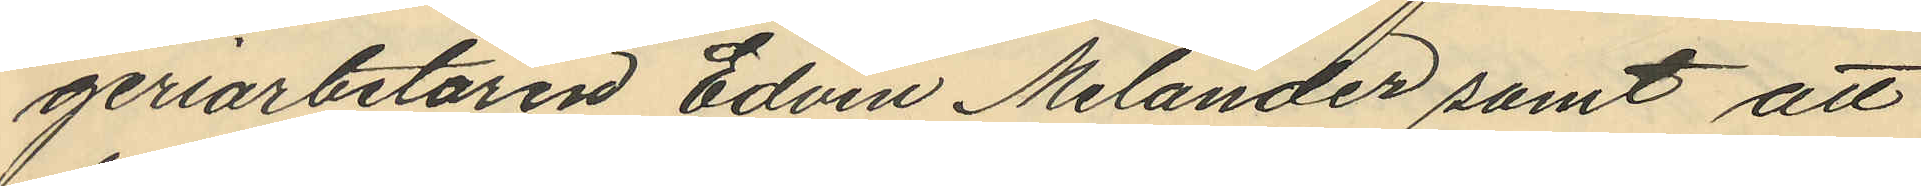geriarbetaren Edvin Melander samt att
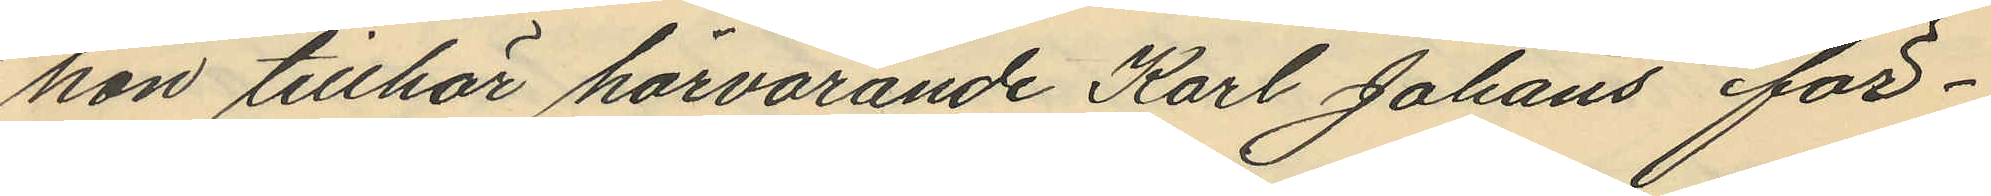hon tillhör härvarande Karl Johans för¬
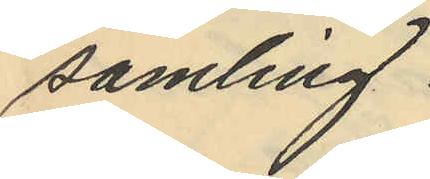samling.
